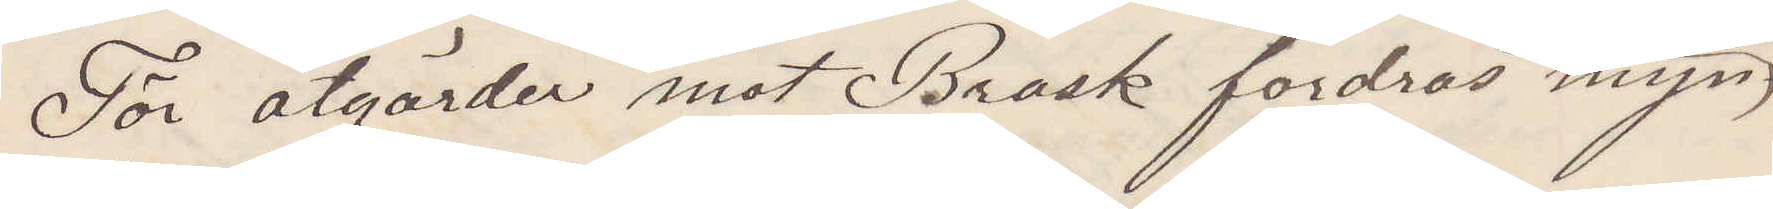För åtgärder mot Brosk fordras myn¬
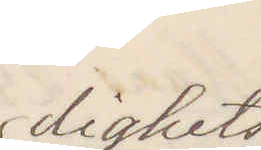dighets
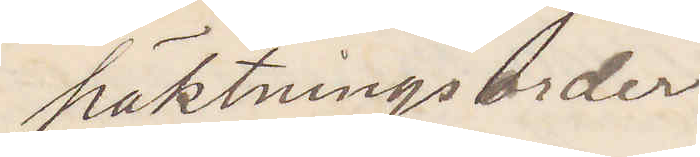häktningsorder
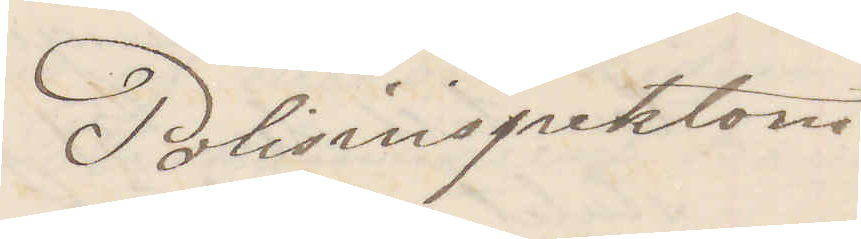Polisinspektorn
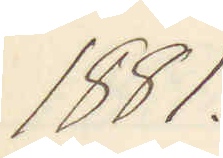1881.
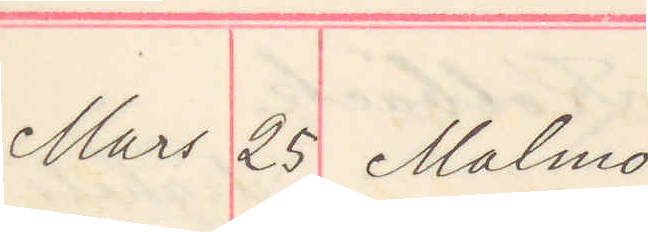Mars 25 Malmö
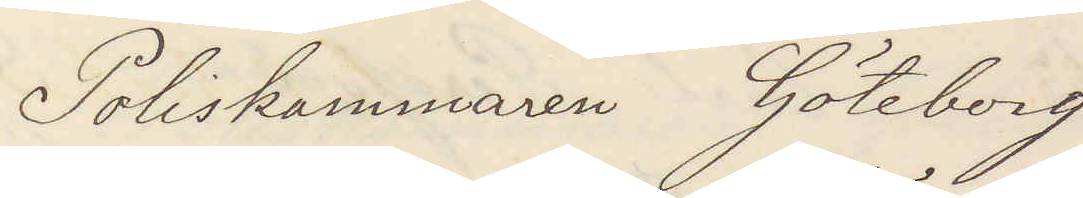Poliskammaren Göteborg
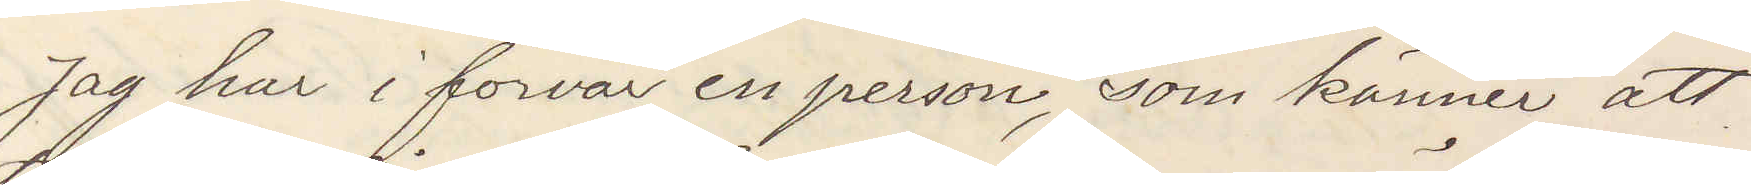Jag har i förvar en person, som känner att
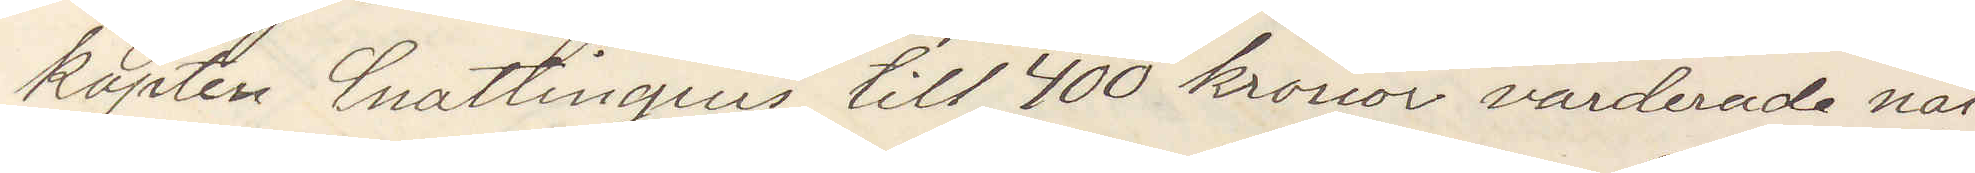kapten Cnattingius till 400 kronor värderade nat¬
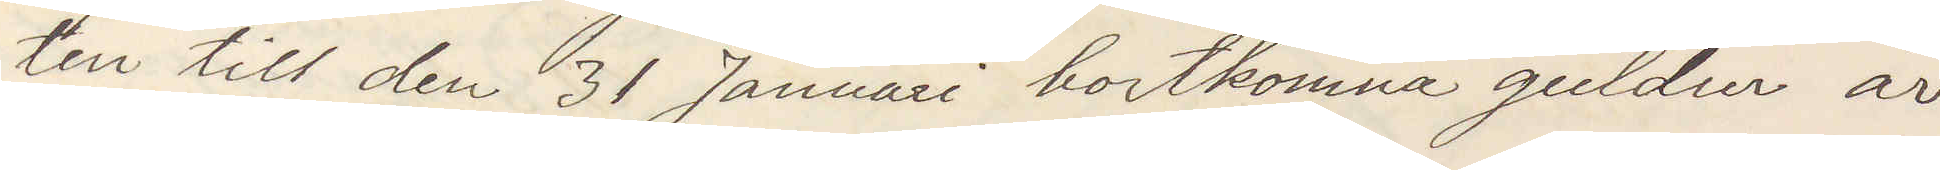ten till den 31 Januari bortkomna guldur är
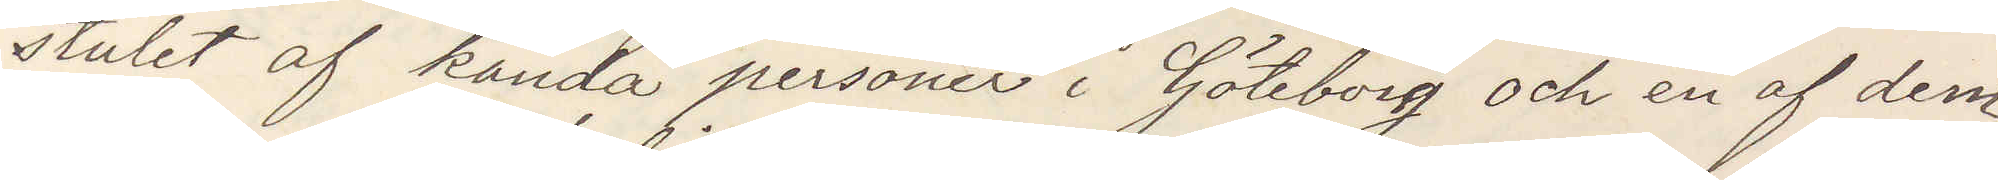stulet af kända personer i Göteborg och en af dem
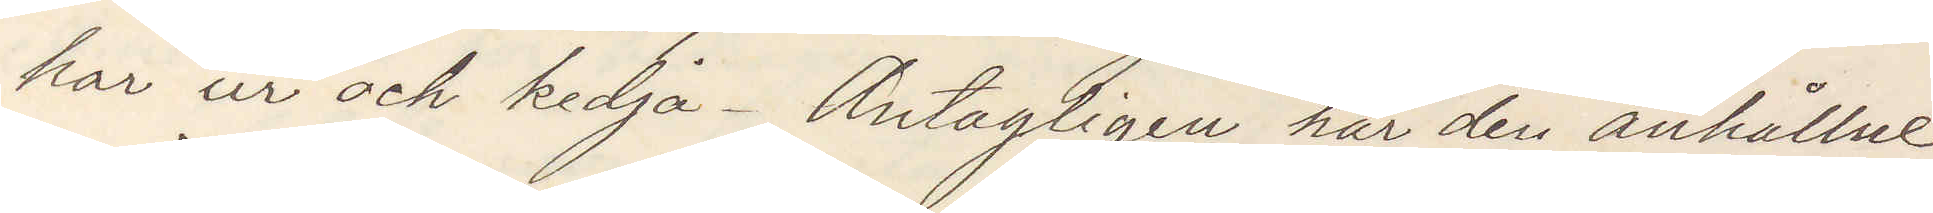har ur och kedja. Antagligen har den anhållne
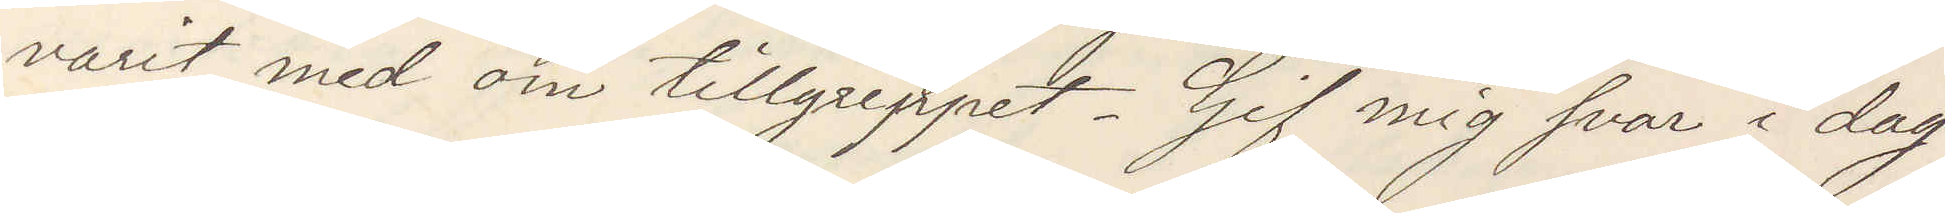varit med om tillgreppet. Gif mig svar i dag
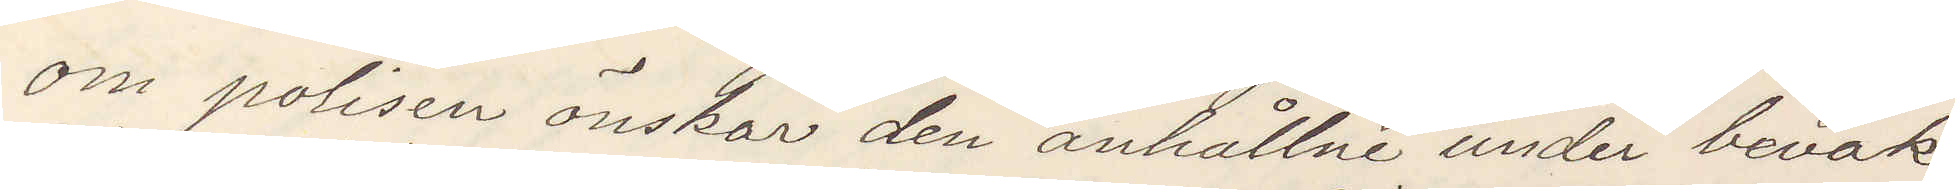om polisen önskar den anhållne under bevak¬
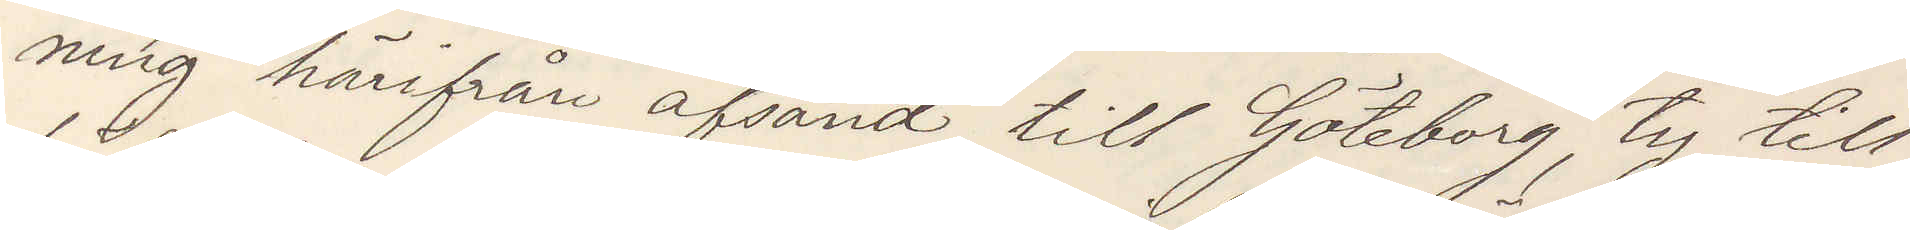ning härifrån afsänd till Göteborg, ty till
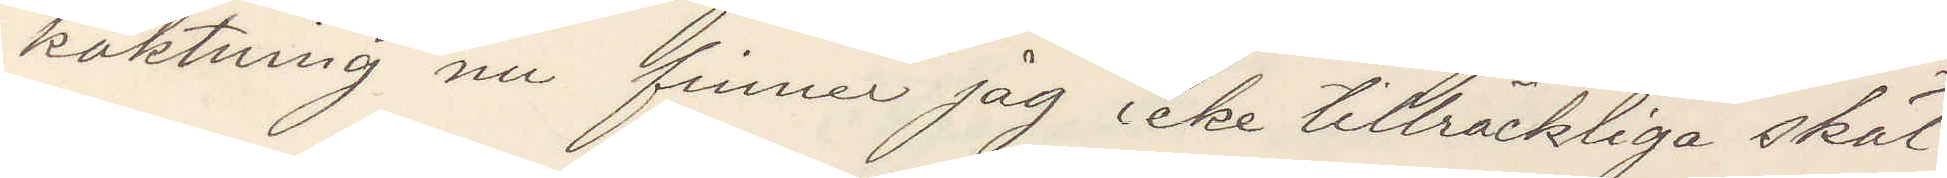häktning nu finner jag icke tillräckliga skäl.
